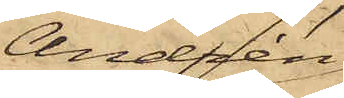Andrén
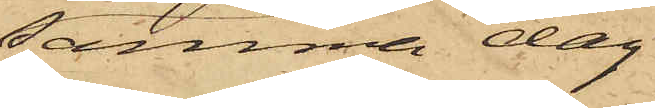samma dag
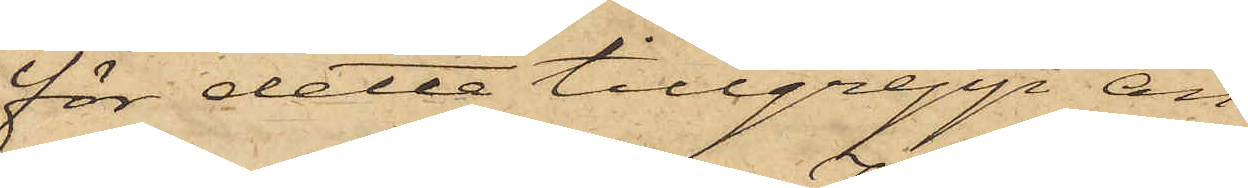för detta tillgrepp an¬
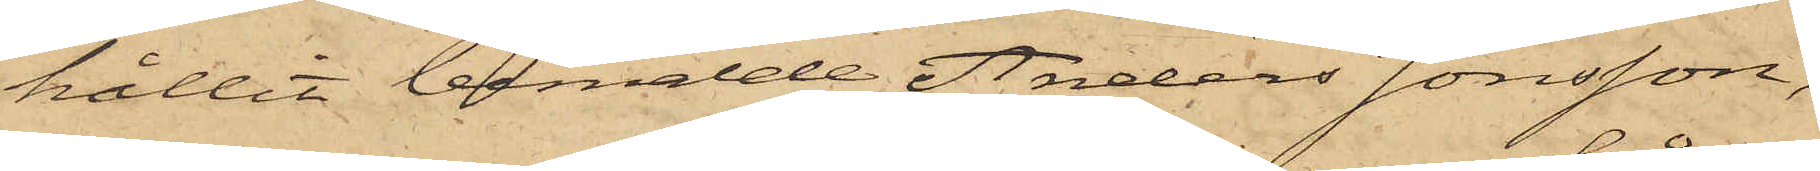hållit bemälde Anders Jonsson,
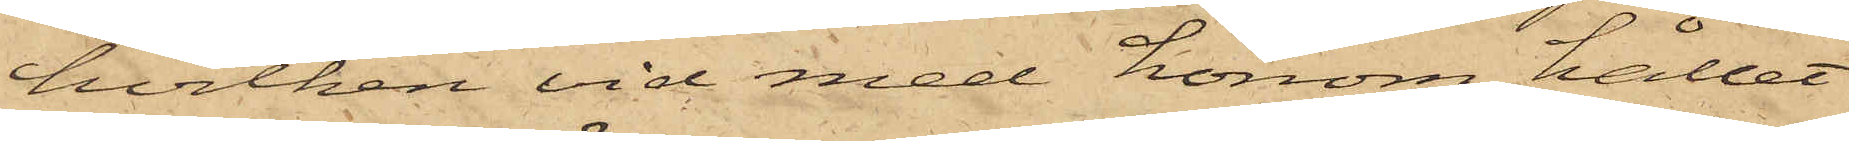hvilken vid med honom hållet
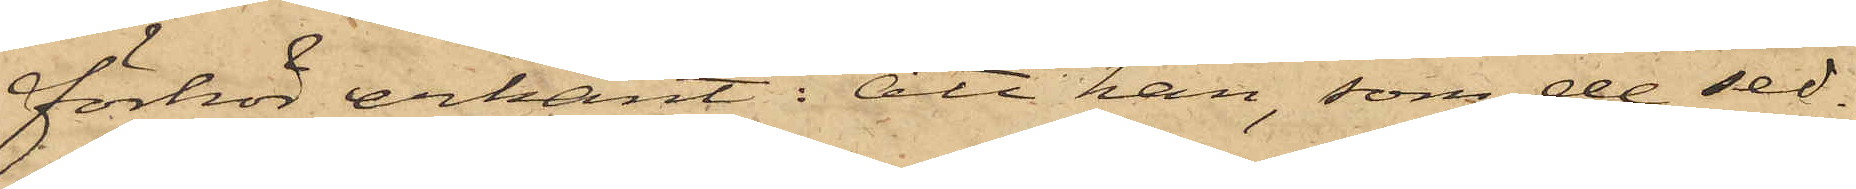förhör erkänt: att han, som de sed¬
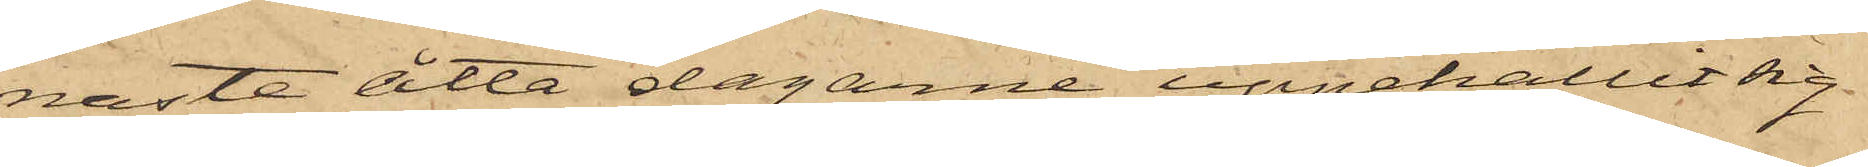naste åtta dagarne uppehållit sig
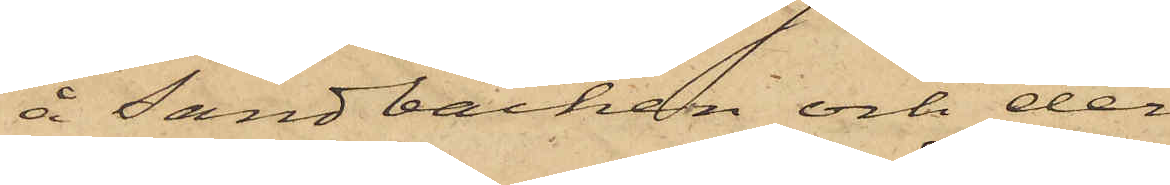å Sandbacken och der
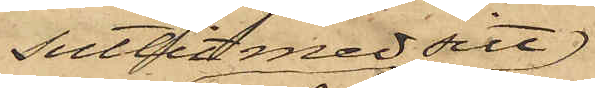suttit med sitt
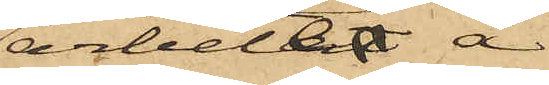arbeter å
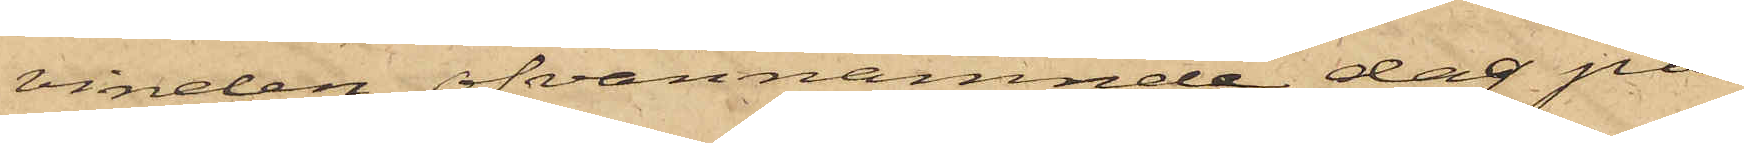vinden, ofvannämnde dag på
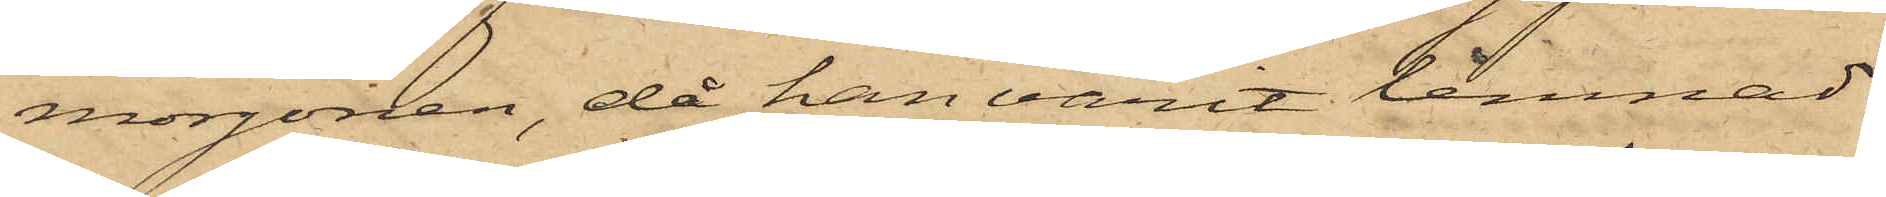morgonen, då han varit lemnad
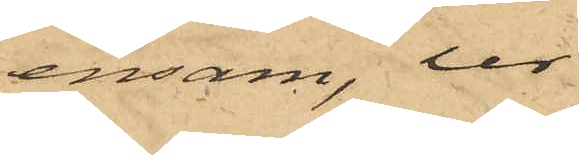ensam, ur
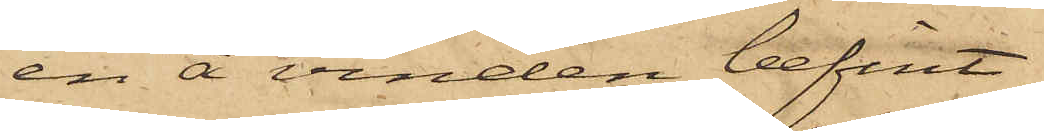en å vinden befint¬
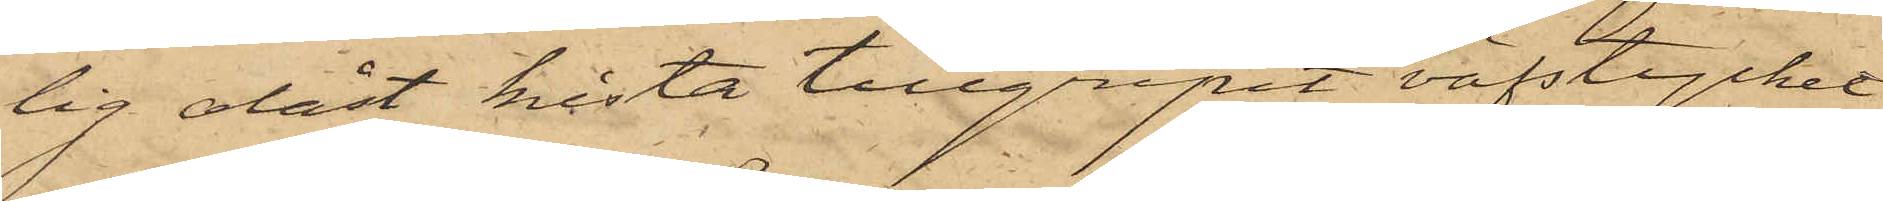lig olåst kista tillgripit väfstycket
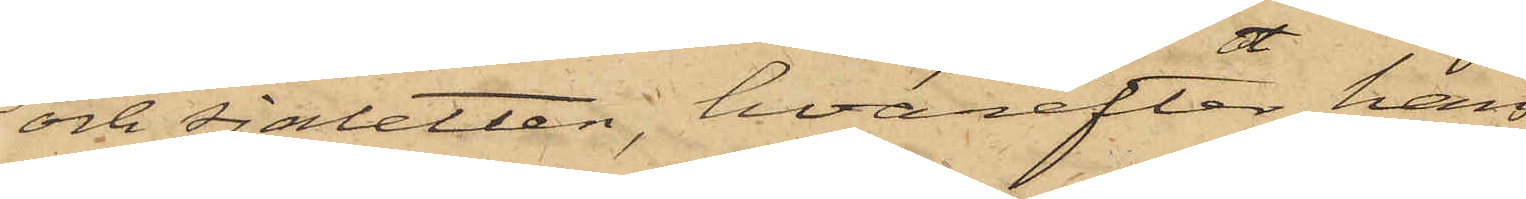och sjaletten, hvarefter han
